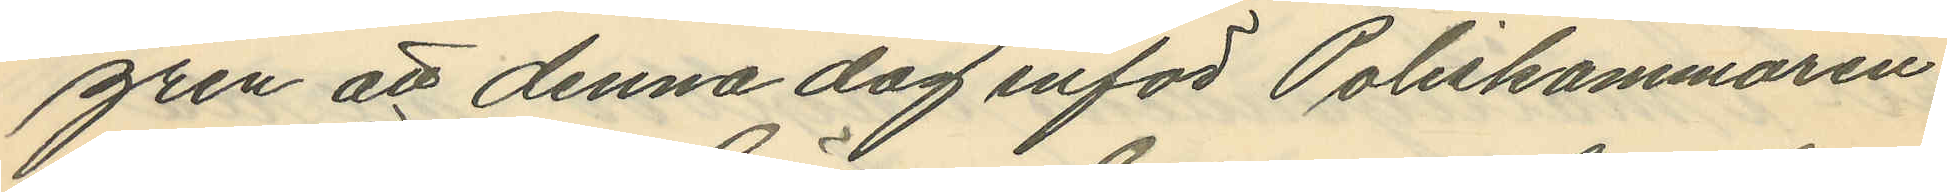gren att denna dag inför Poliskammaren
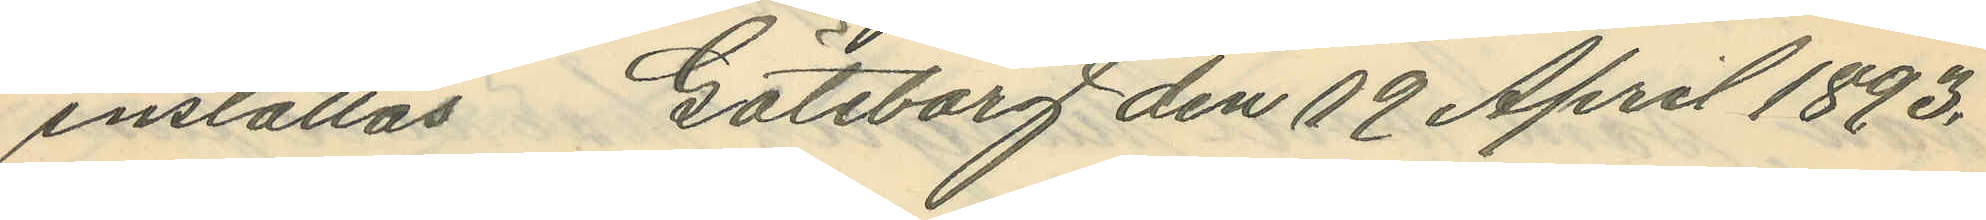inställas Göteborg den 19 April 1893.
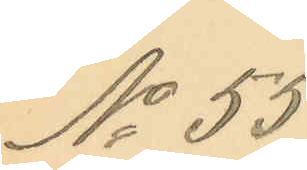No 55.
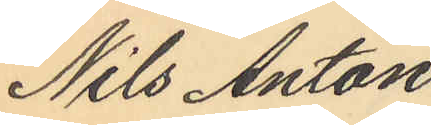Nils Anton
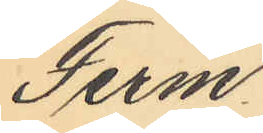Ferm
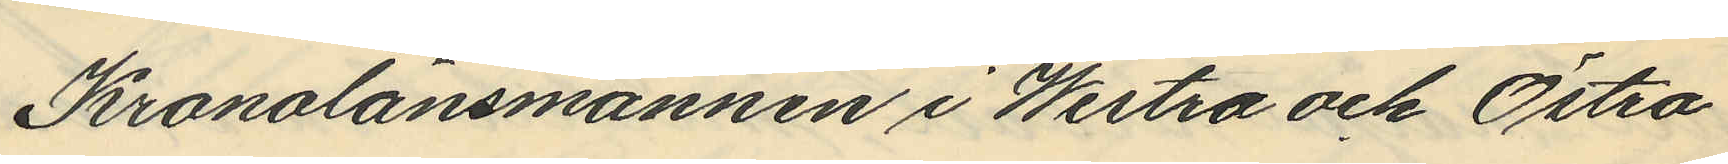Kronolänsmannen i Westra och Östra
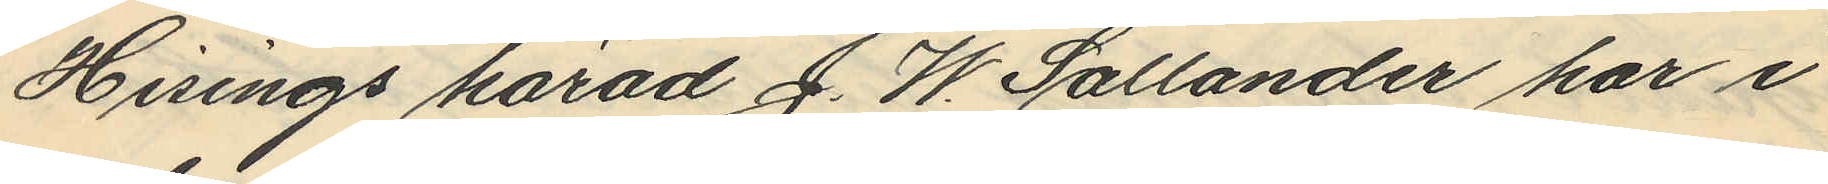Hisings härad J. W. Sallander har i
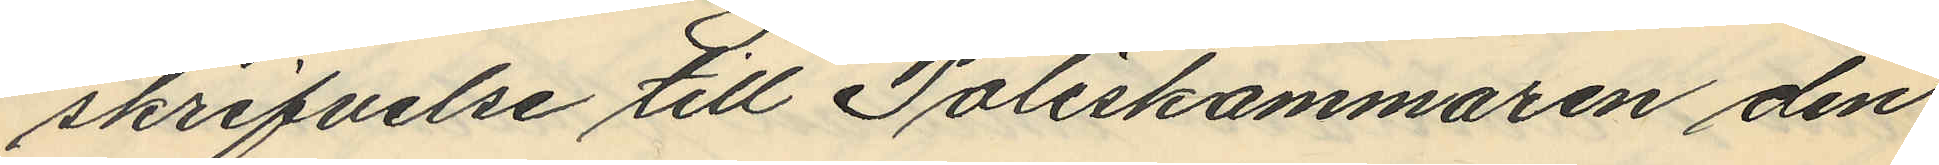skrifvelse till Poliskammaren den
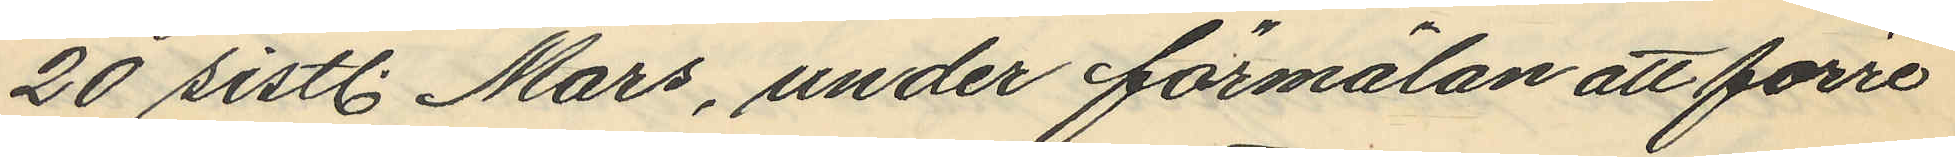20 sistl. Mars, under förmälan att förre
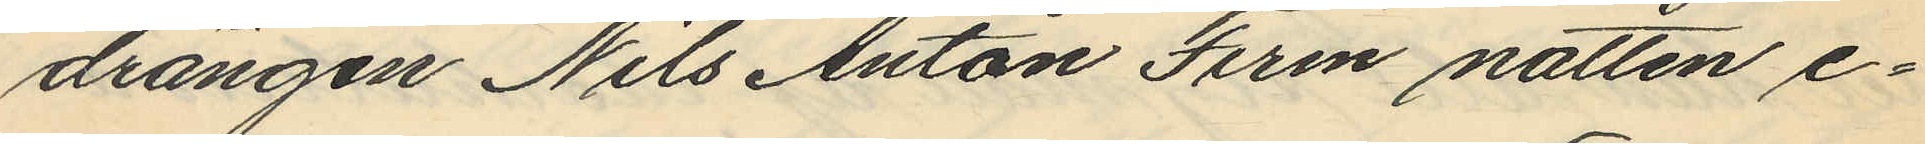drängen Nils Anton Ferm natten e¬
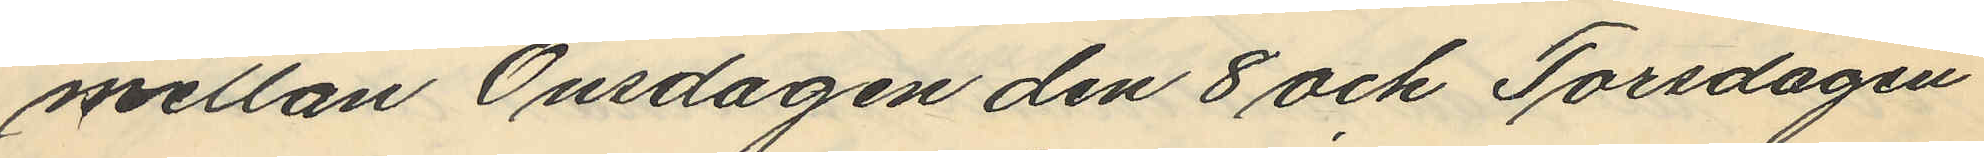mellan Onsdagen den 8 och Torsdagen
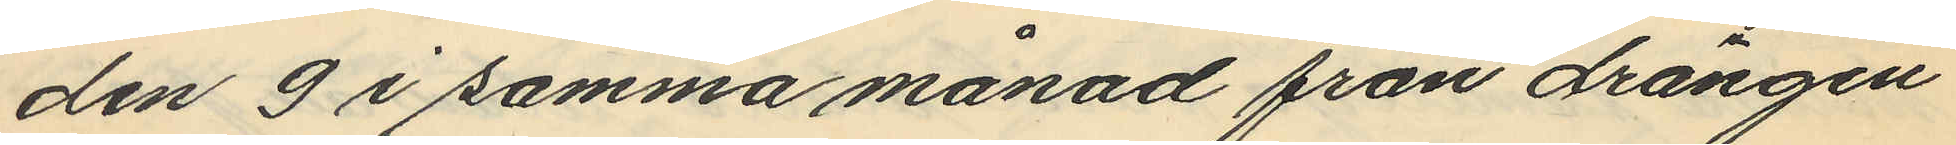den 9 i samma månad från drängen
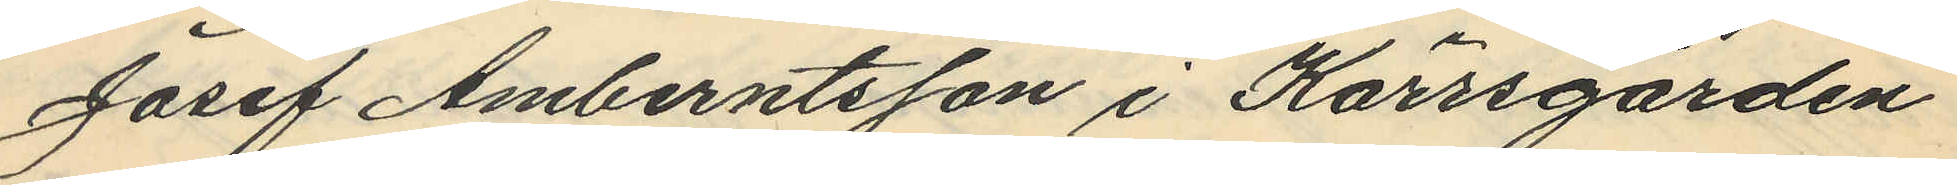Josef Amberntsson i Kärrsgården
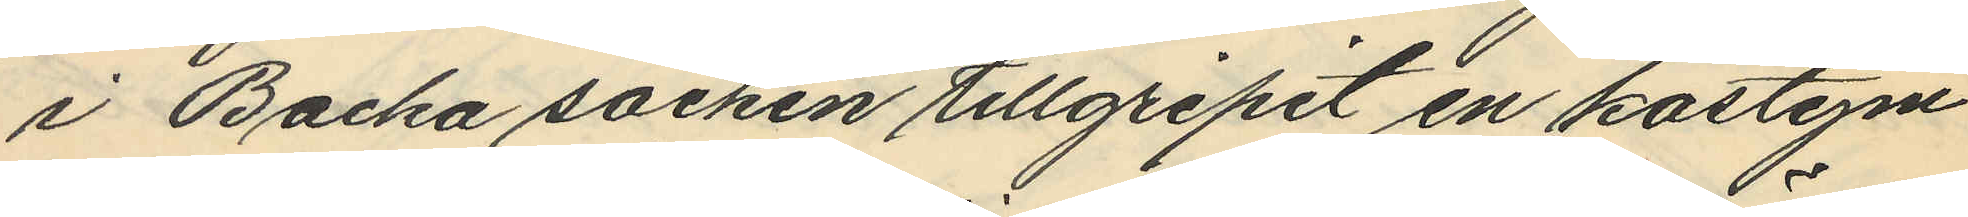i Backa socken tillgripit en kostym
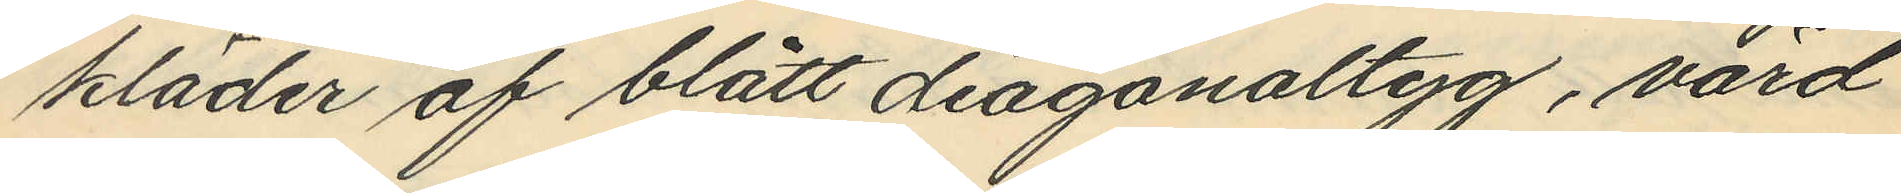kläder af blått diagonaltyg, värd
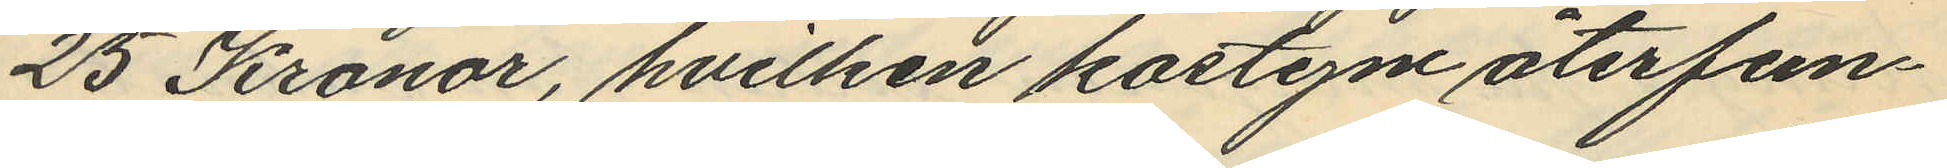25 Kronor, hvilken kostym återfun¬
